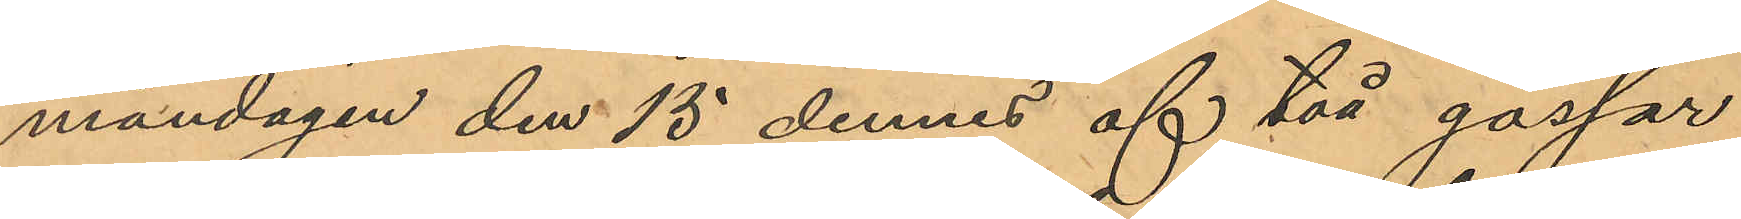måndagen den 15 dennes af två gossar
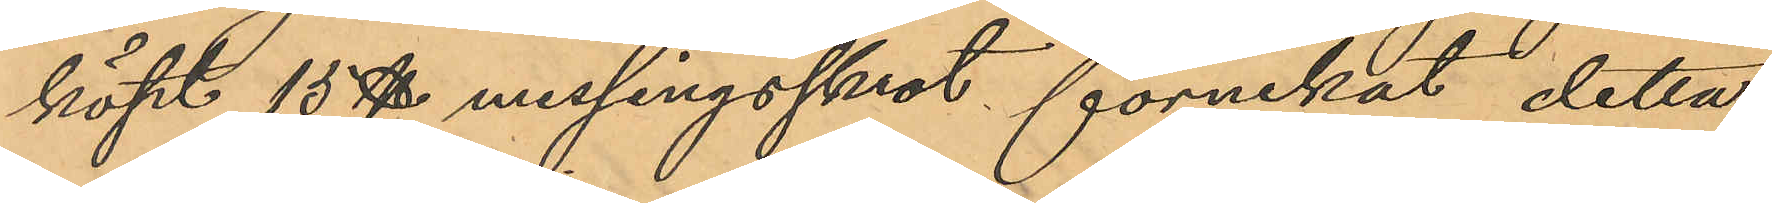köpt 15 ℔ messingsskrot förnekat detta,
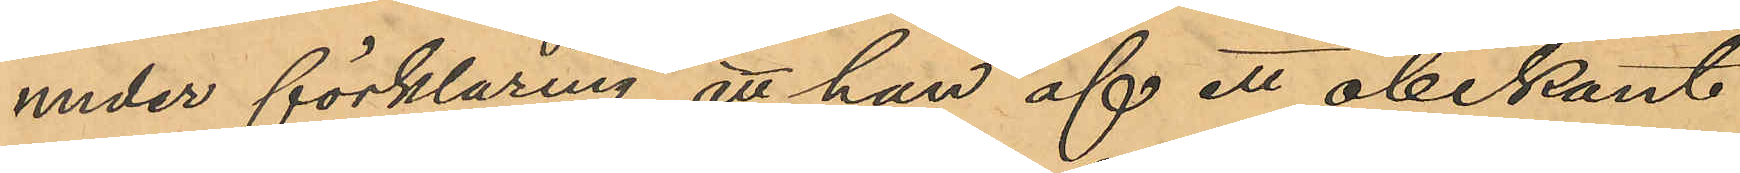under förklaring att han af ett obekant
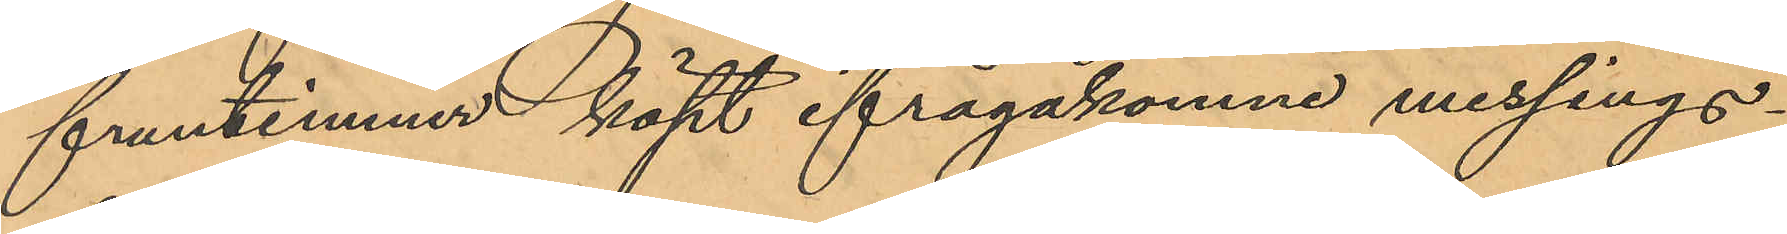fruntimmer köpt ifrågakomne messings¬
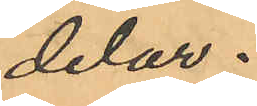delar.
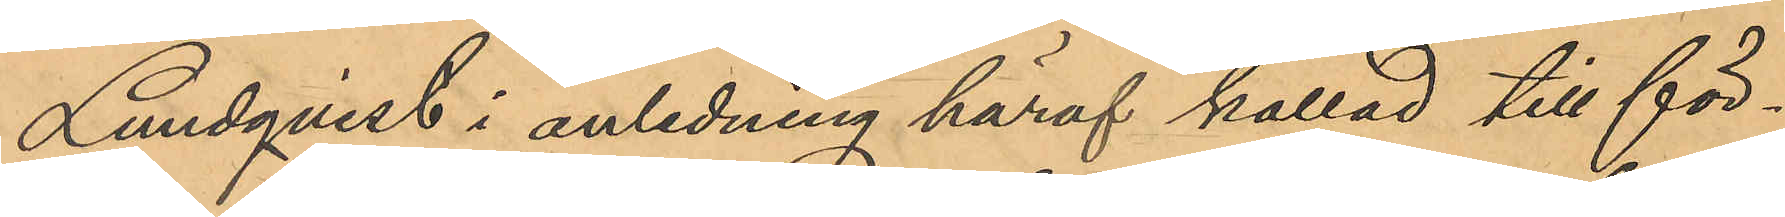Lundqvist i anledning häraf kallad till för¬
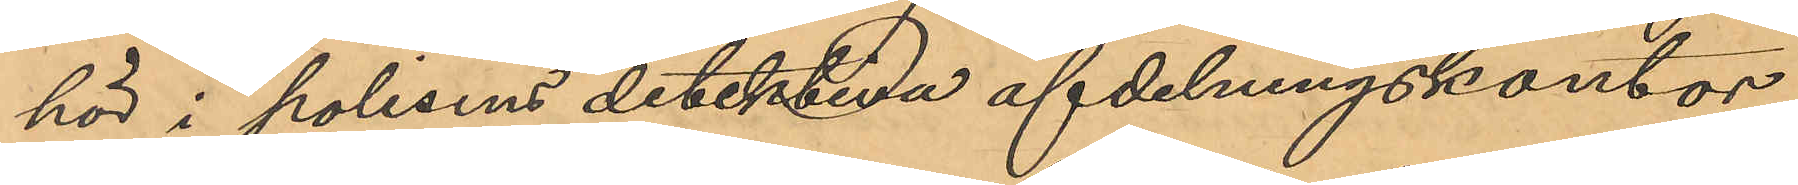hör i polisens detektiva afdelningskontor,
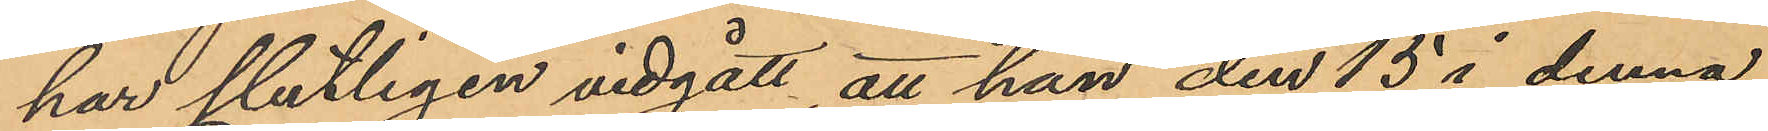har slutligen vidgått att han den 15 i denna
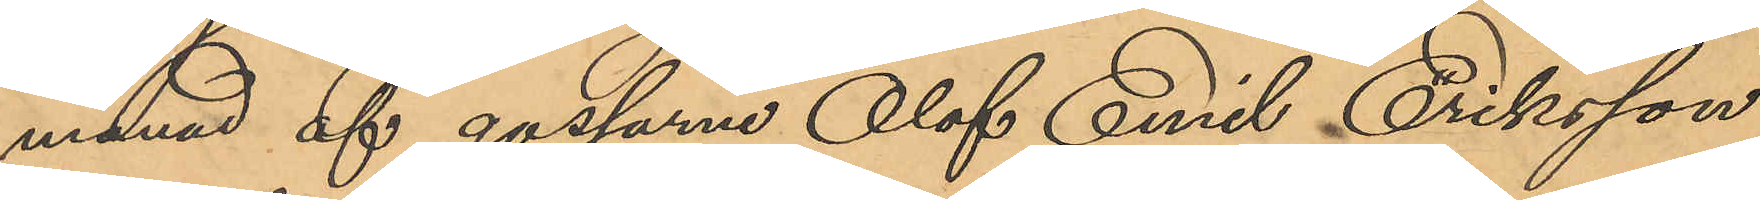månad af gossarne Olof Emil Eriksson
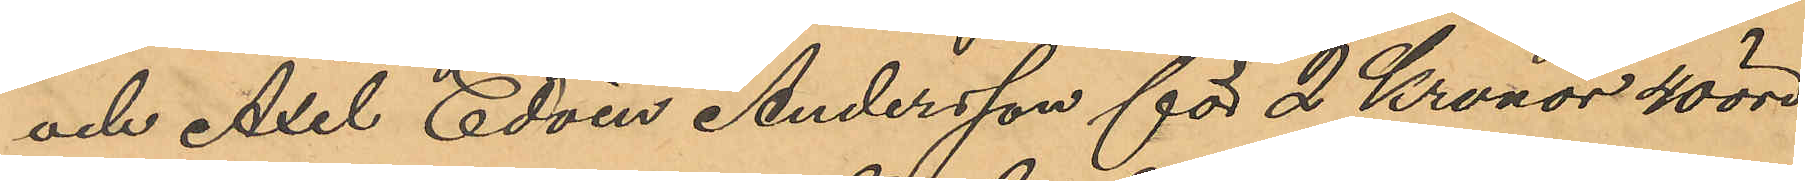och Axel Edvin Andersson för 2 Kronor 40 öre
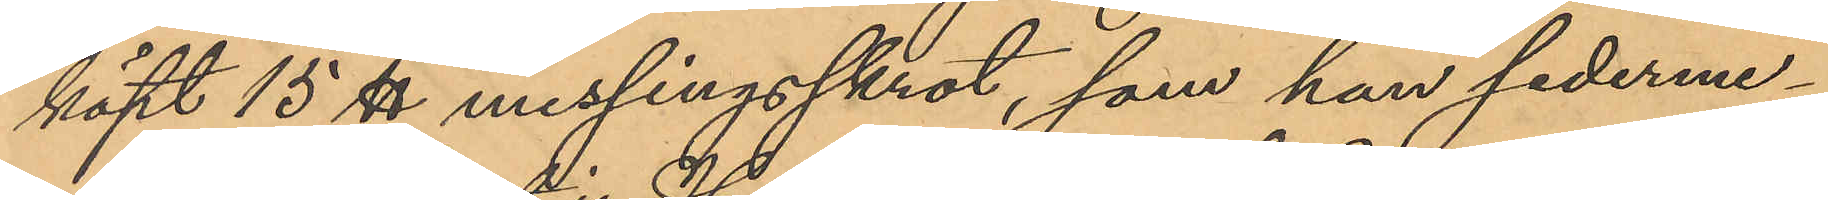köpt 15 ℔ messingsskrot, som han sederme¬
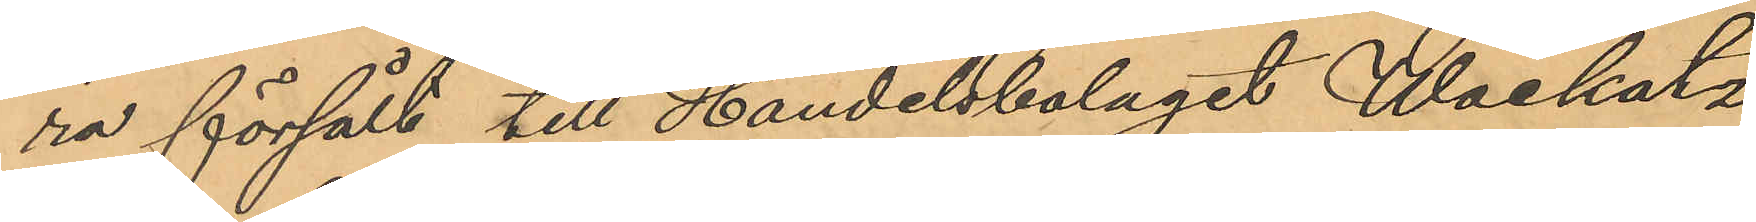ra försålt till Handelsbolaget Wockatz
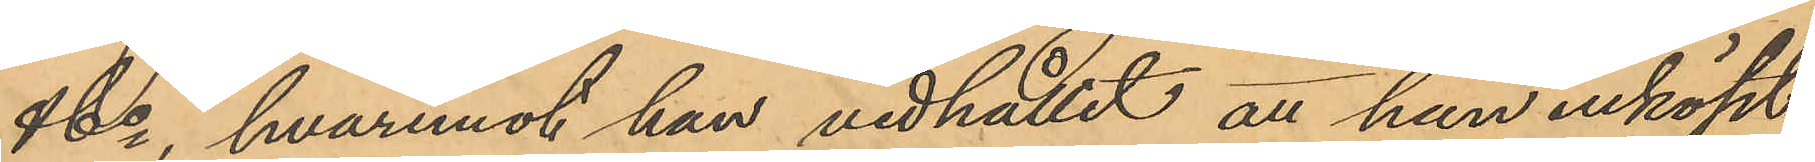& Co, hvaremot han vidhållit att han inköpt
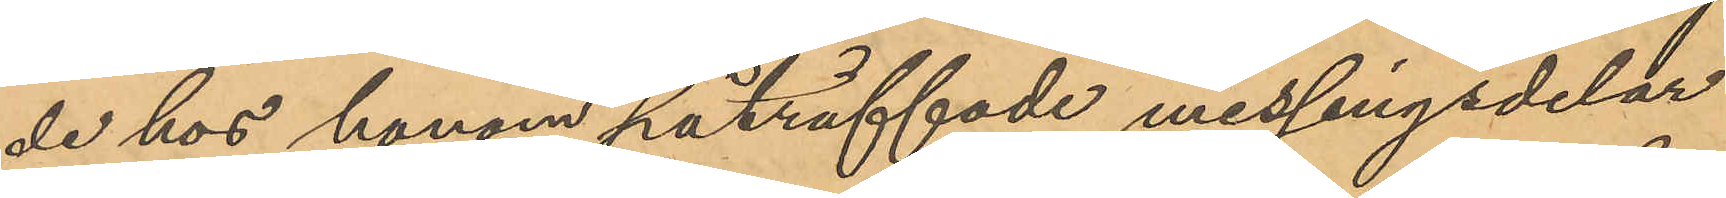de hos honom påträffade messingsdelar
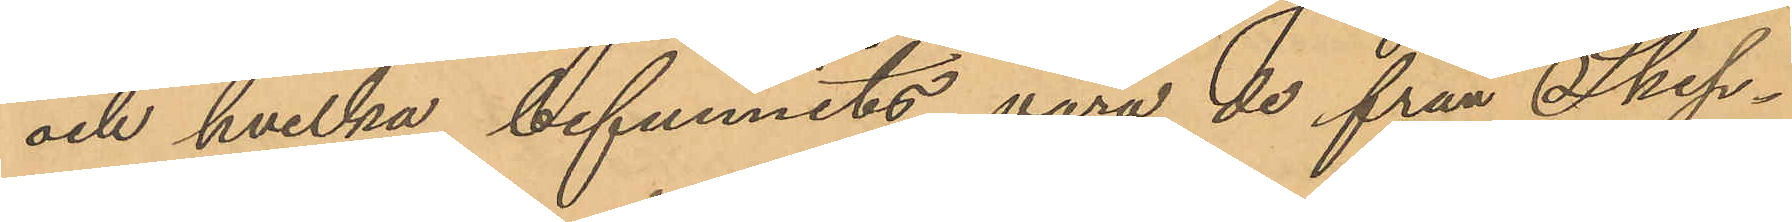och hvilka befunnits vara de från Skep¬
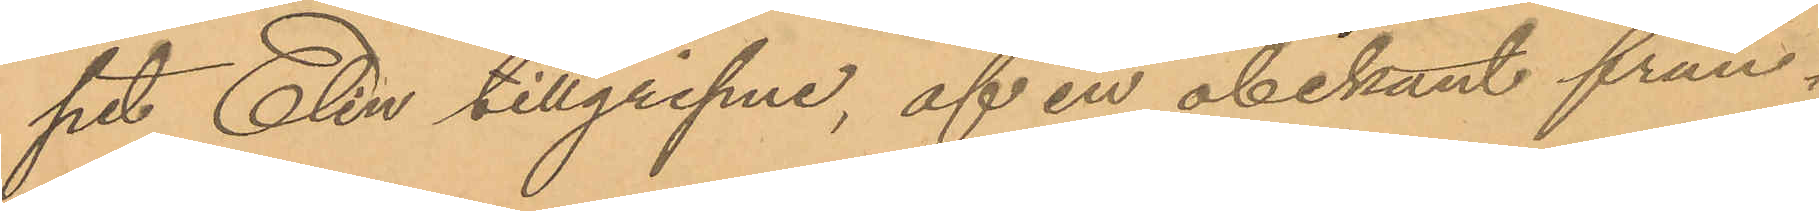pet Elin tillgripne, af en obekant frun¬
